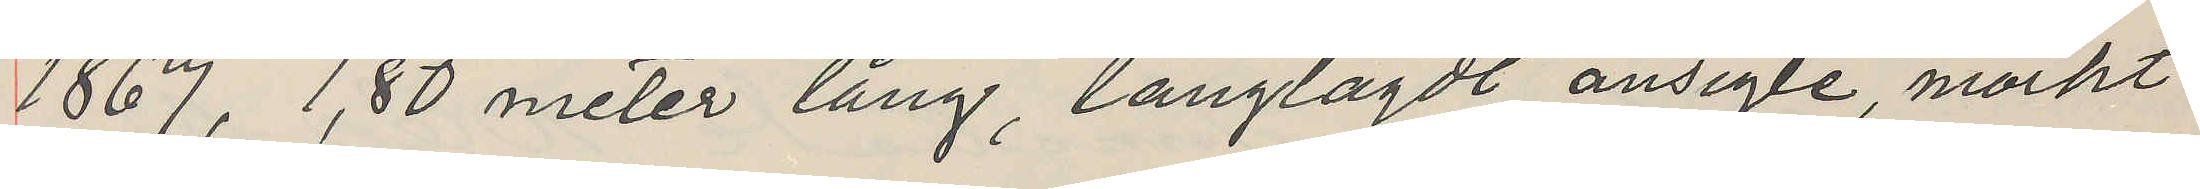1867, 1,80 meter lång, långlagdt ansigte, mörkt
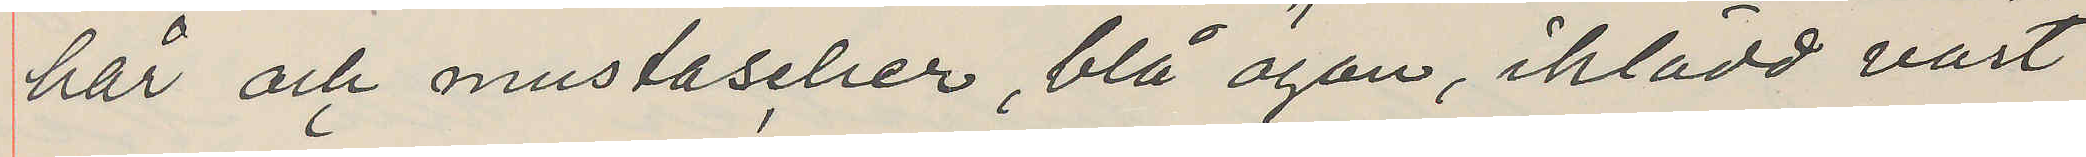har och mustaseher, blå ögon, iklädd värt
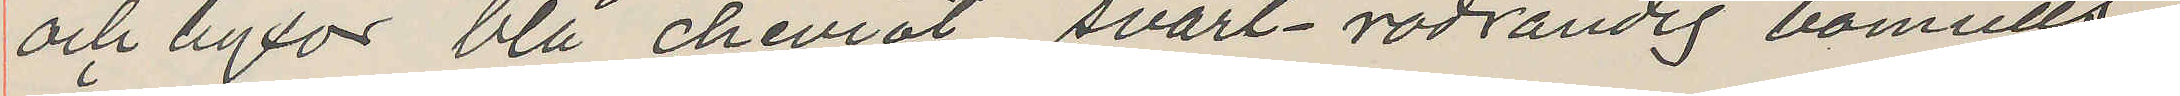och byxor blå cheviot, svart-rödrandig bomulls¬
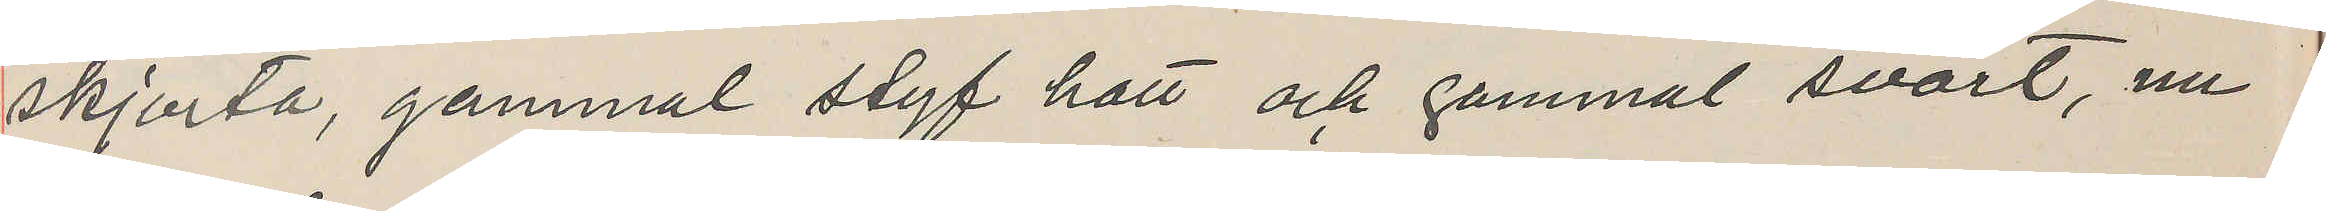skjorta, gammal styf hatt och gammal svart, nu
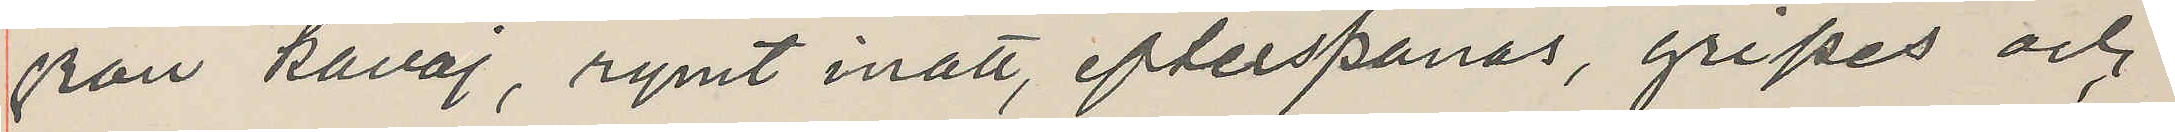från kavaj, rymt inatt, efterspanas, gripes och
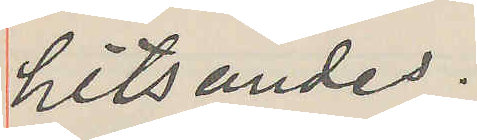hitsändes.
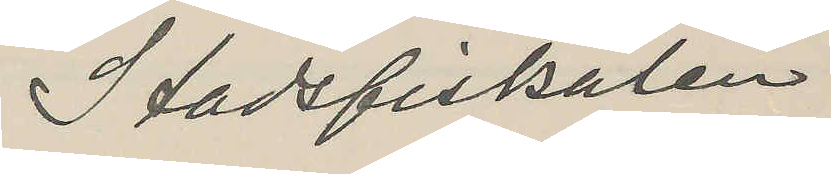Stadsfiskalen
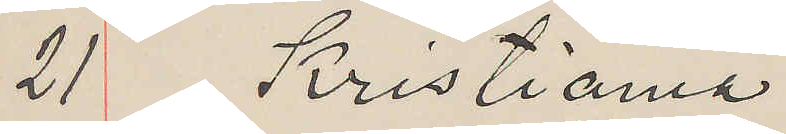21 Kristiania
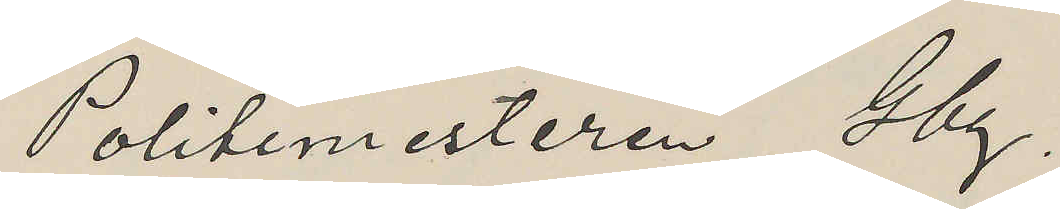Politemesteren Obg,
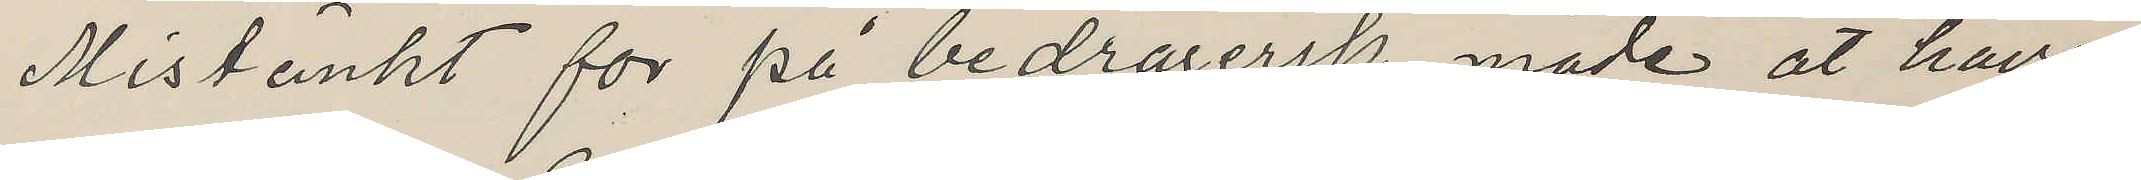Mistänkt for på bedragersk måde at have
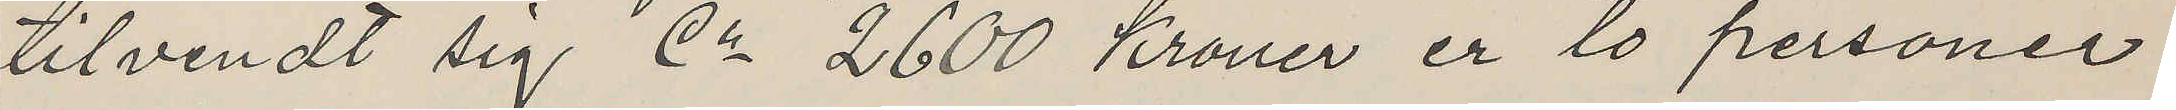tilvendt sig Ca 2600 Kroner er to personer
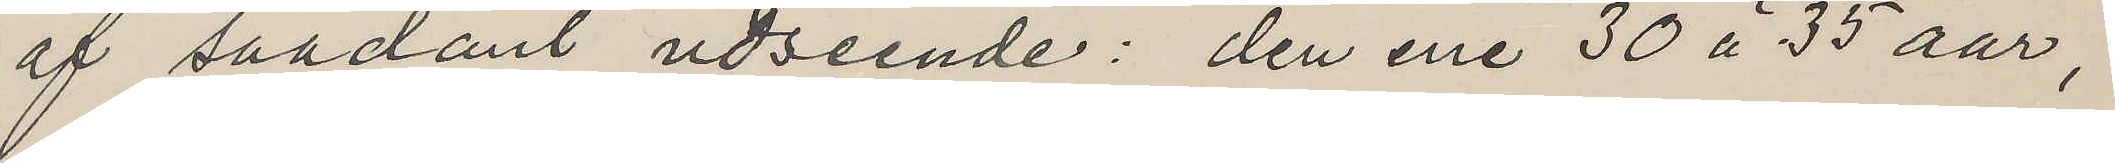af saadant udseende: den ene 30 à 35 aar,
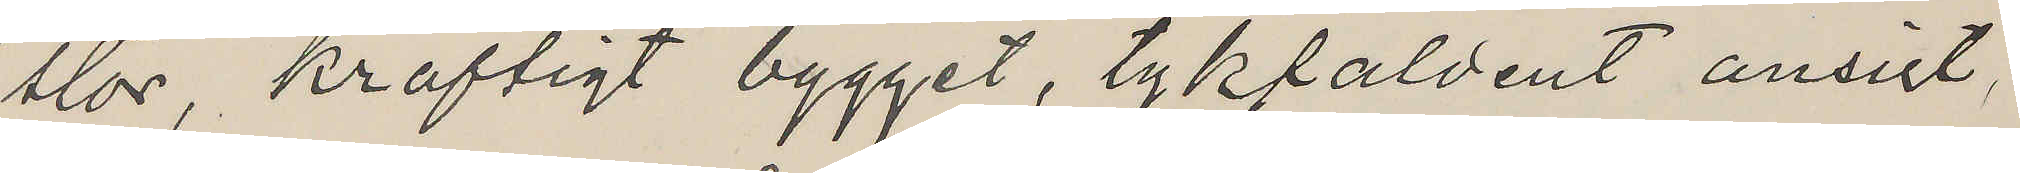stor kraftigt bygget, tykfaldent ansigt,
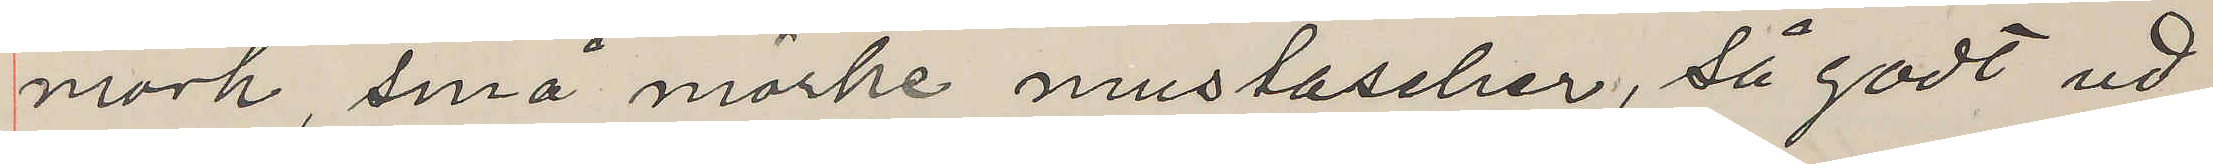mörk, små mörke mustascher, så godt ud,
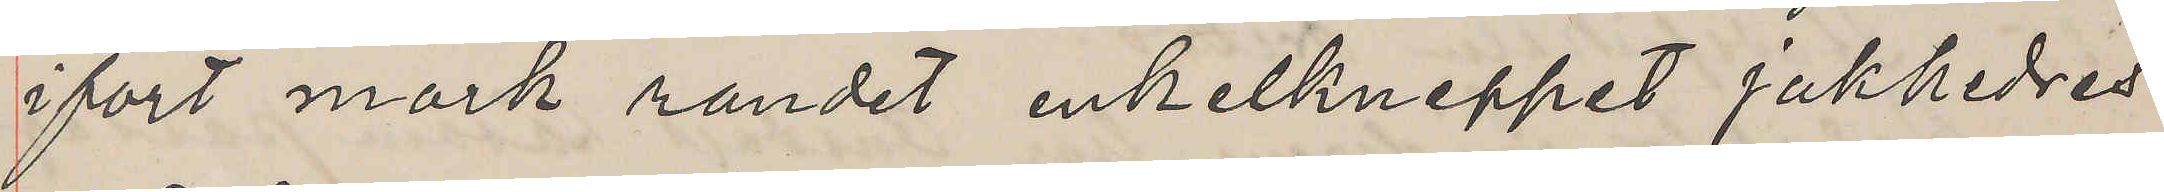ifört mörk randet enkelkneppet jakkedres
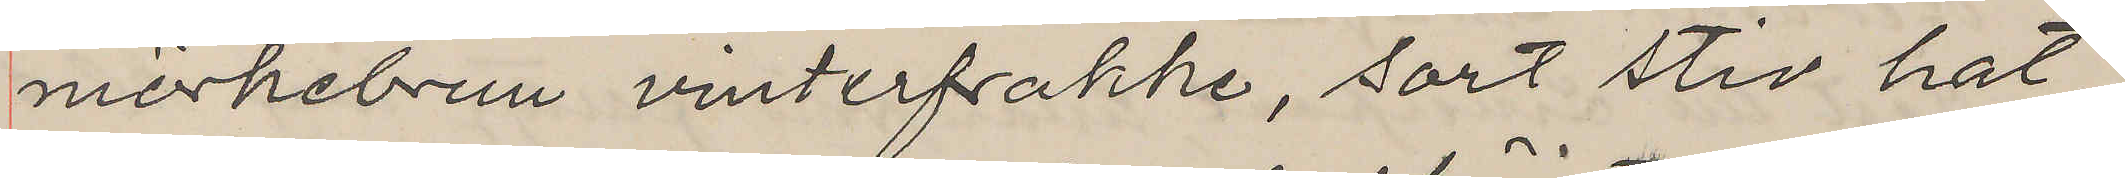mörkebrun vinterfrakke, sort stiv hat
